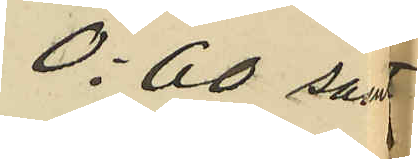0:60 samt
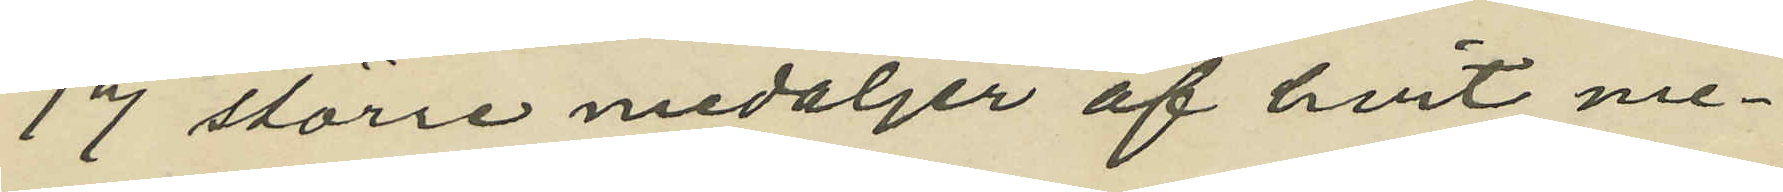17 större medaljer af hvit me¬
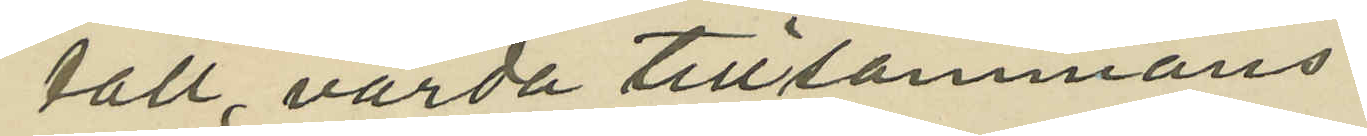tall, värda tillsammans
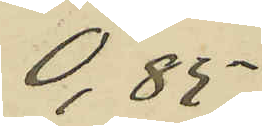0,85
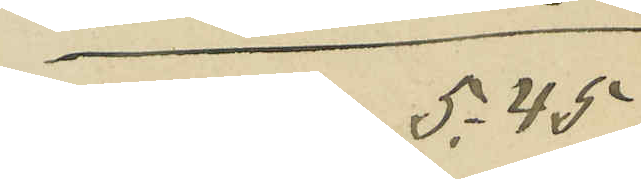Sma Kr 5:45
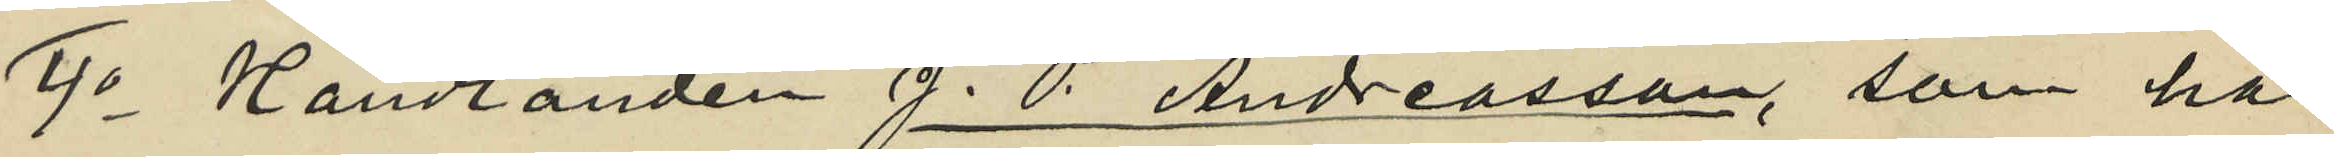4o Handlanden J. P. Andreasson, som har
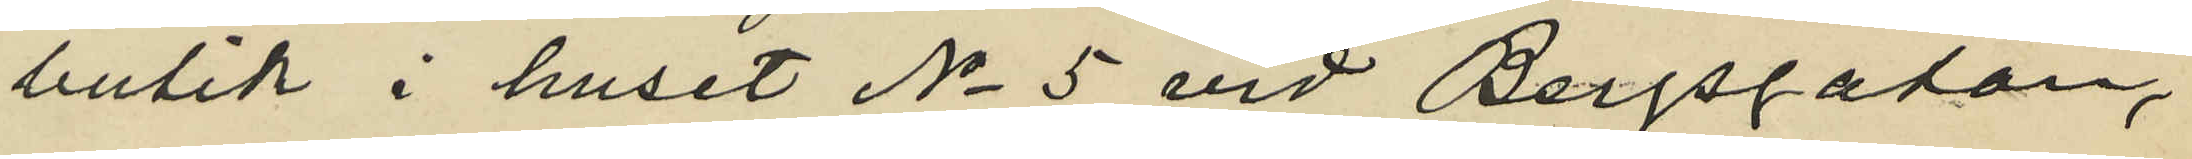butik i huset No 5 vid Bergsgatan,
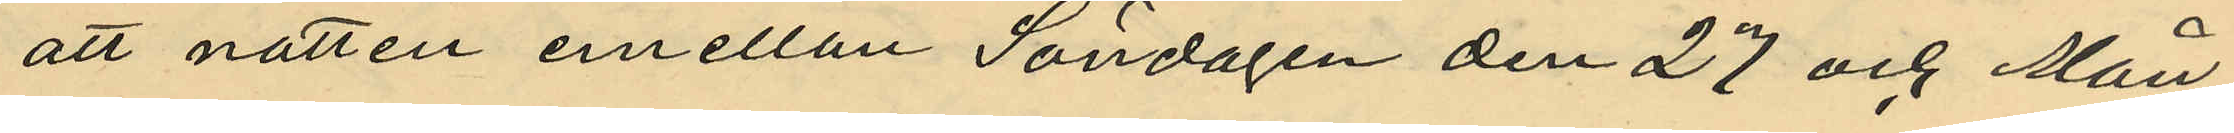att natten emellan Söndagen den 27 och Mån
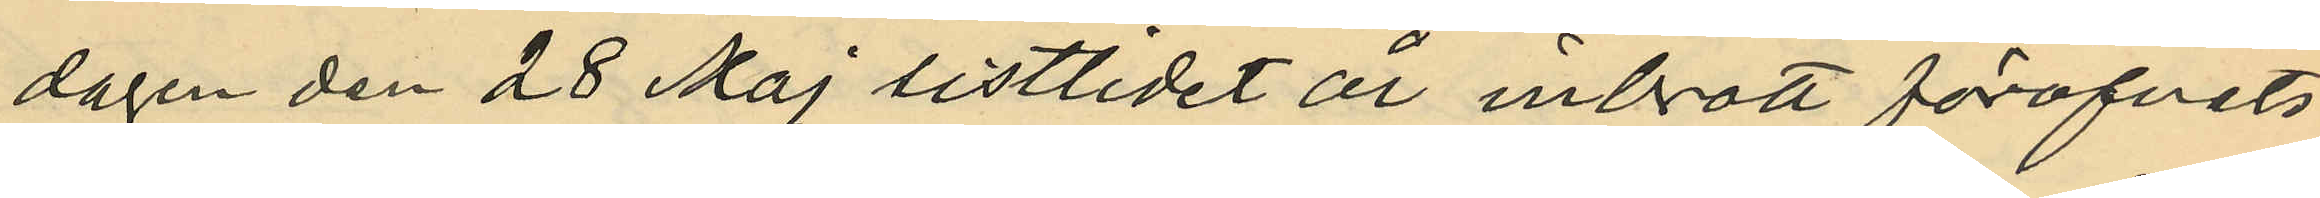dagen den 28 Maj sistlidet år inbrott föröfvats
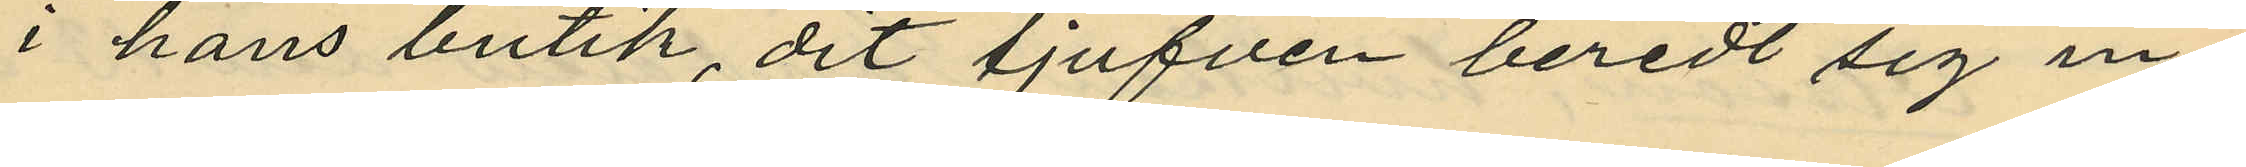i hans butik, dit tjufven beredt sig in¬
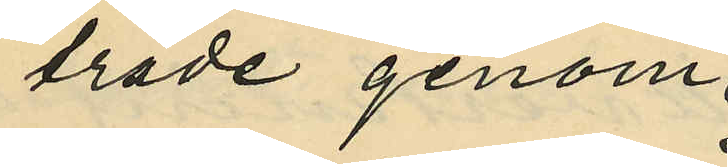träde genom
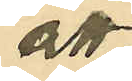att
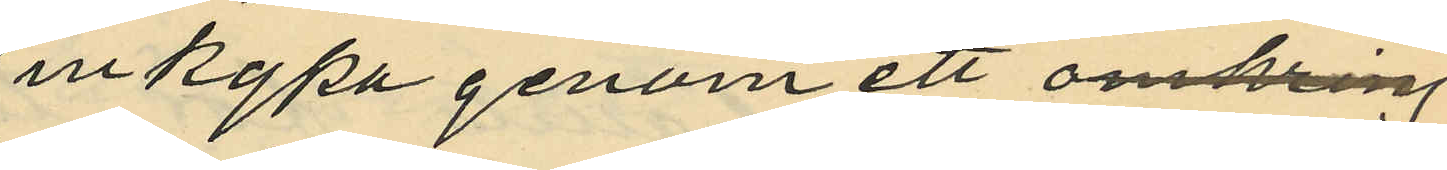inkrypa genom ett 
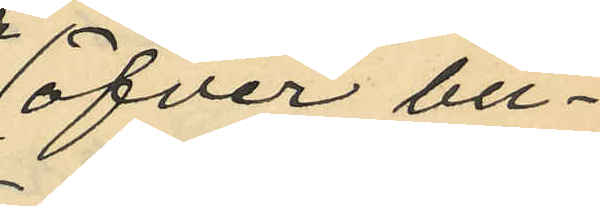öfver bu¬
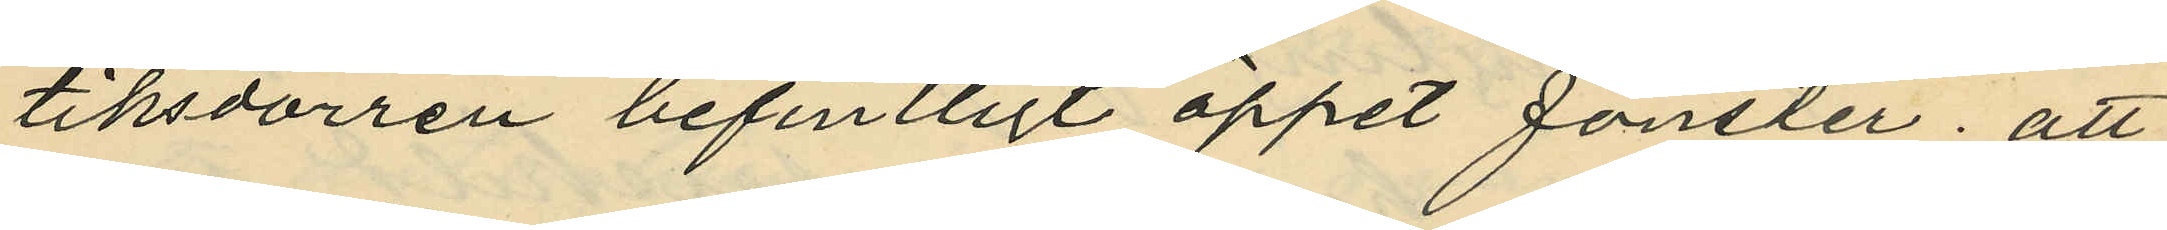tiksdörren befintligt öppet fönster; att
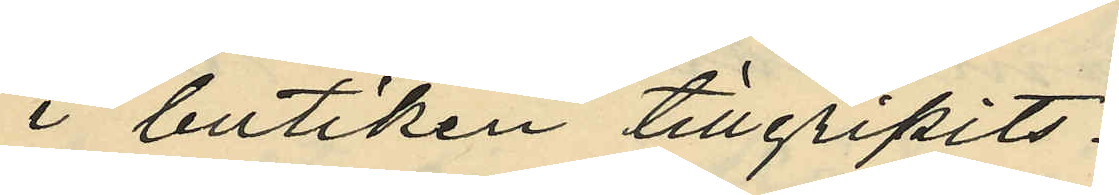i butiken tillgripits:
